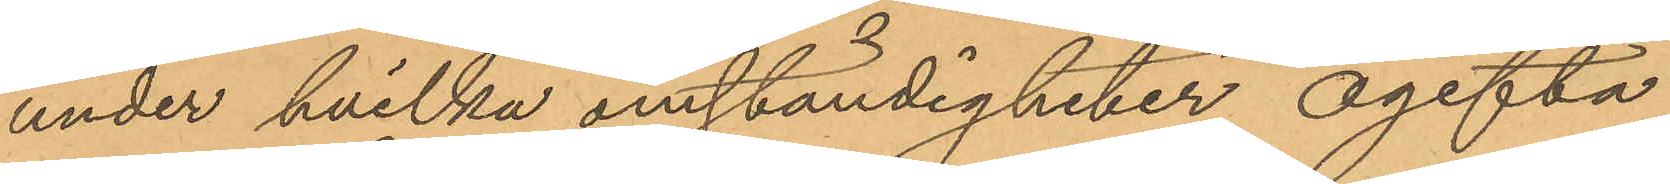under hvilka omständigheter ogifta
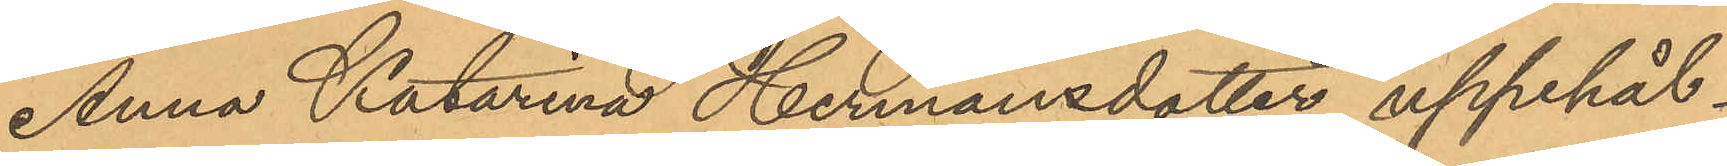Anna Katarina Hermansdotter uppehål¬
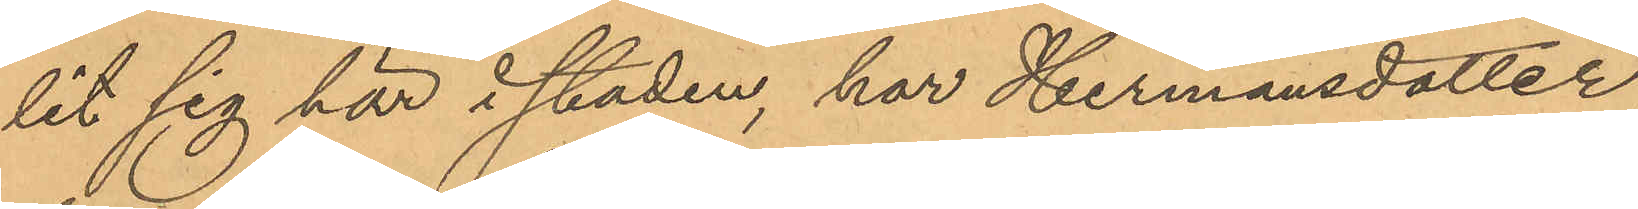lit sig här i staden, har Hermansdotter
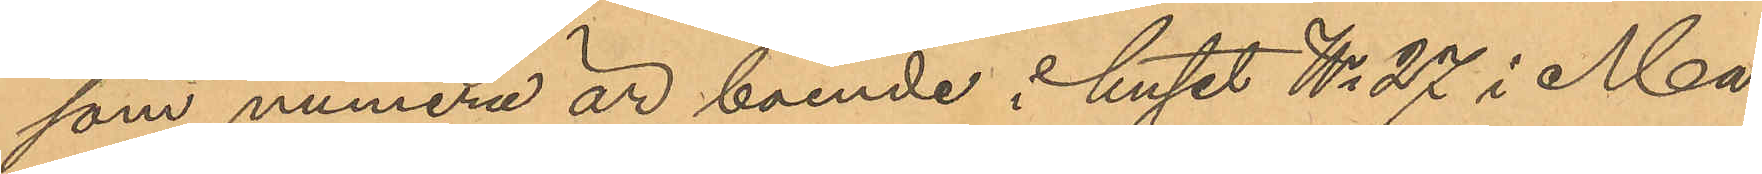som numera är boende i huset No 27 i Ma¬
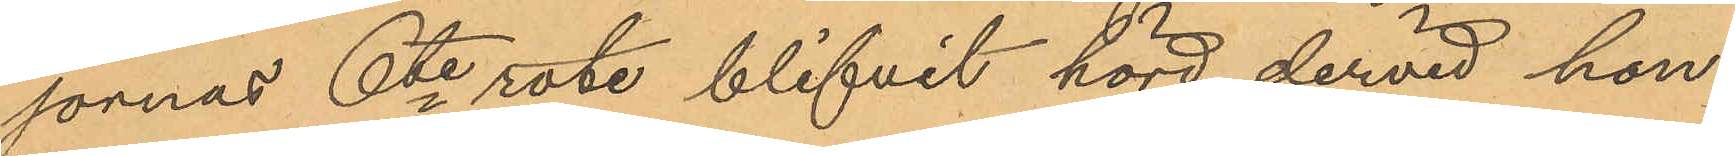jornas 6te rote, blifvit hörd, dervid hon
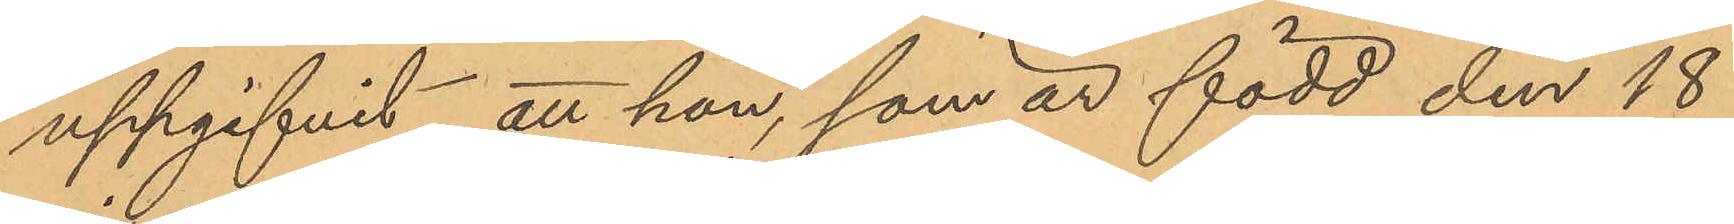uppgifvit, att hon, som är född den 18
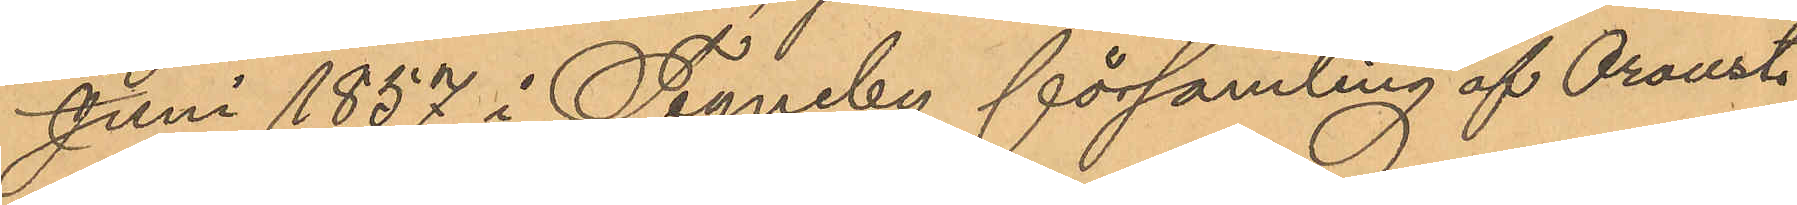Juni 1857 i Tegneby församling af Oroust
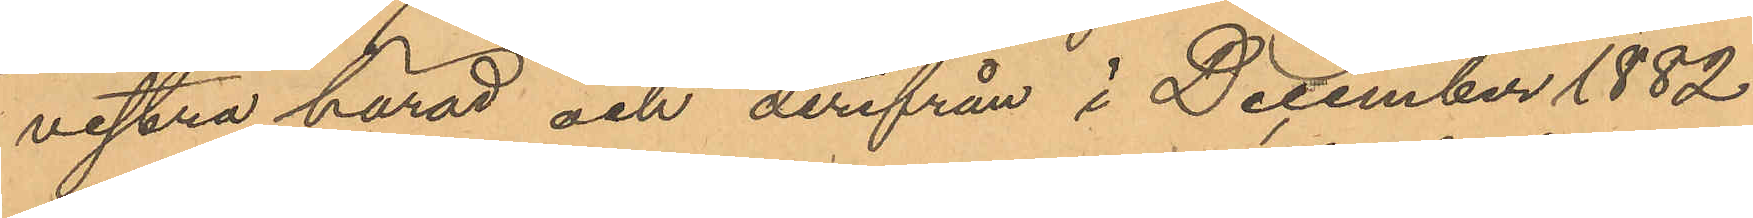vestra härad och derifrån i December 1882
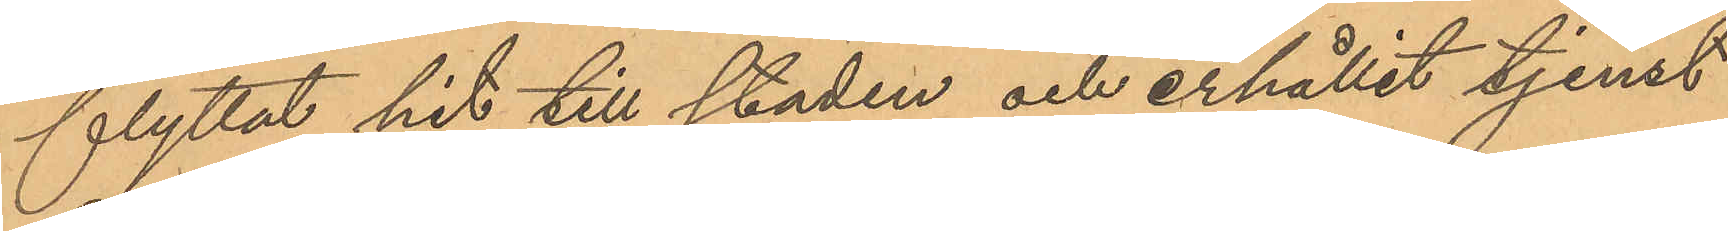flyttat hit till staden och erhållit tjenst
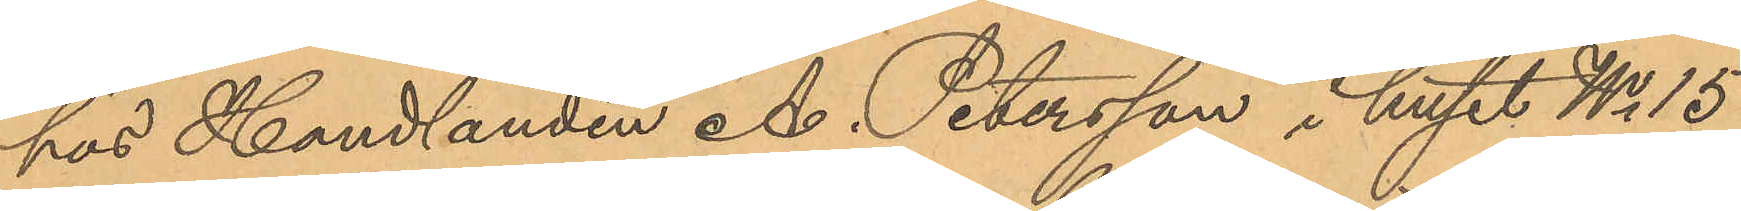hus Handlanden A. Petersson i huset No 15
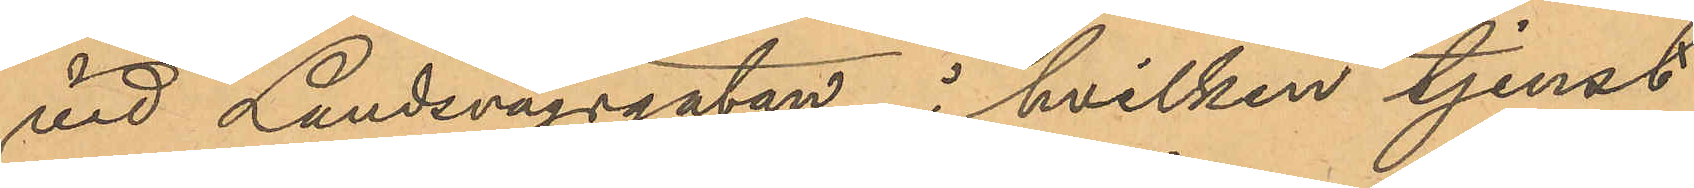vid Landsvägsgatan, i hvilken tjenst
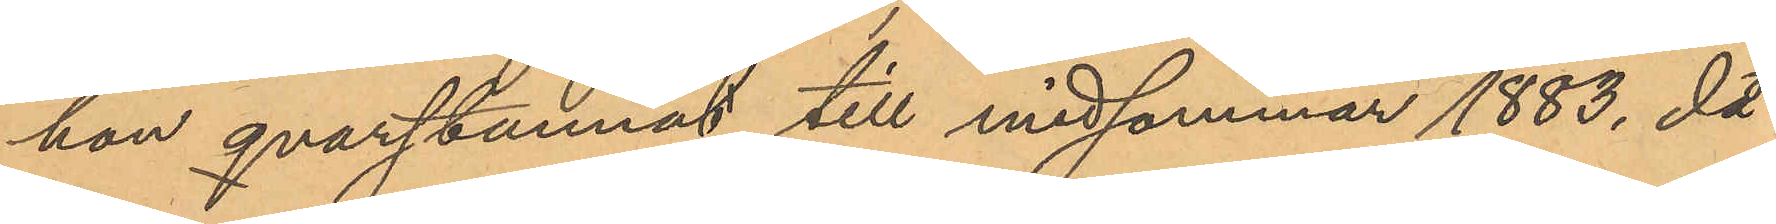hon qvarstannat till midsommar 1883, då
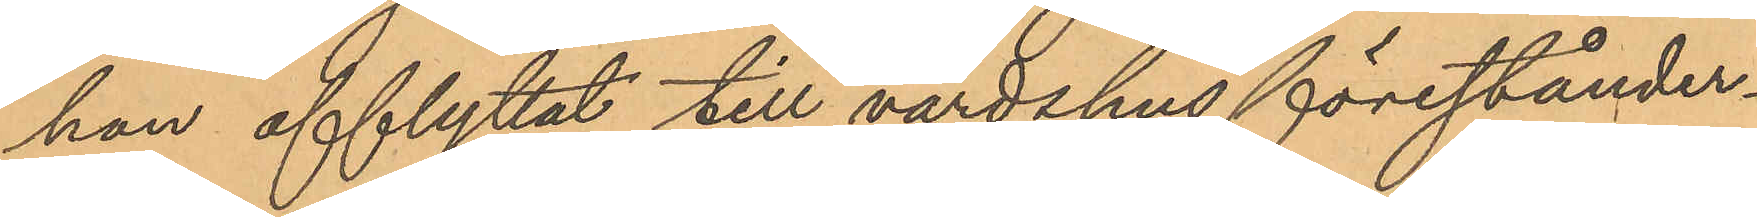hon afflyttat till värdshusförestånder¬
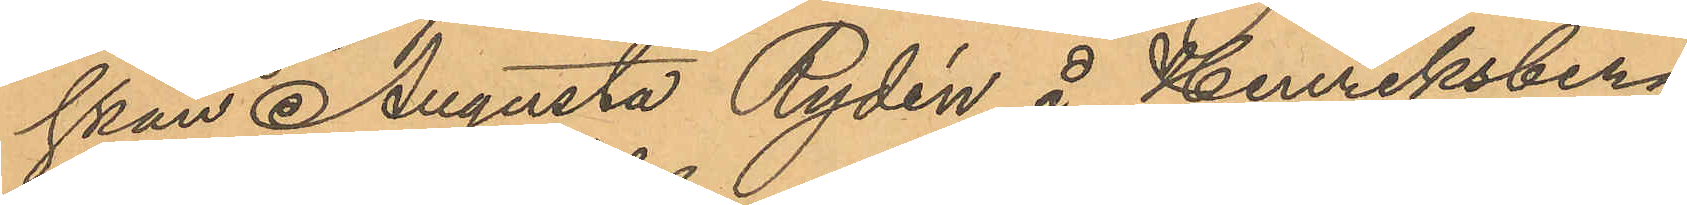skan Augusta Rydén å Henriksberg
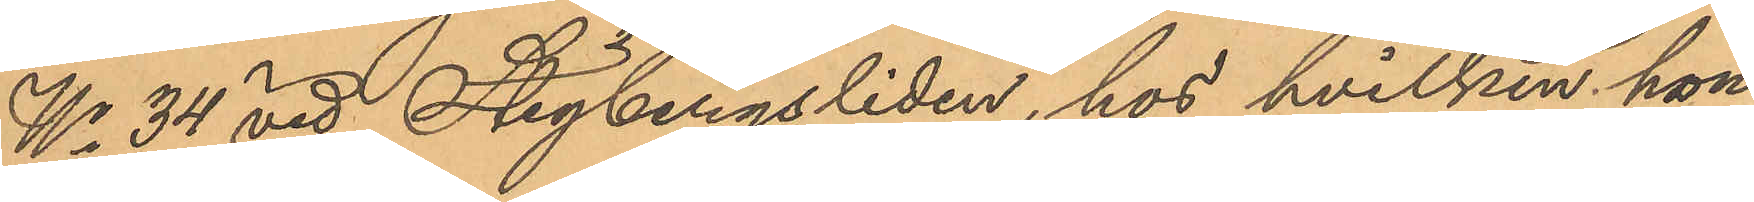No 34 vid Stigbergsliden, hos hvilken hon
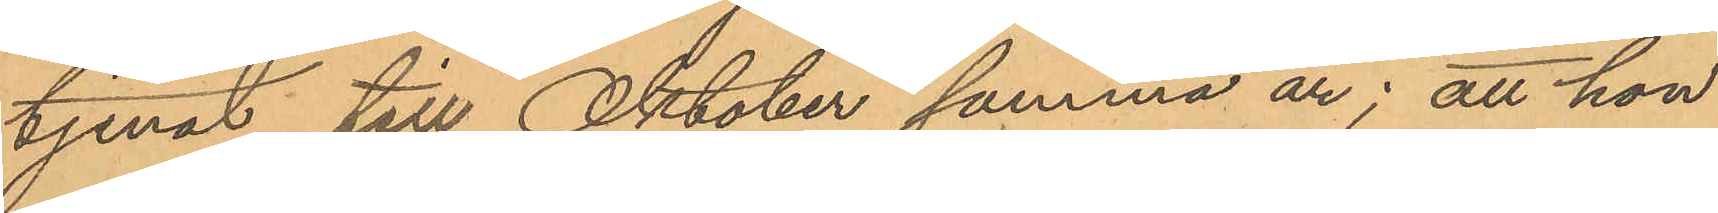tjenat till Oktober samma år; att hon
